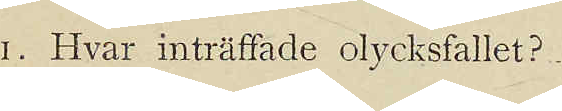1. Hvar inträffade olycksfallet?
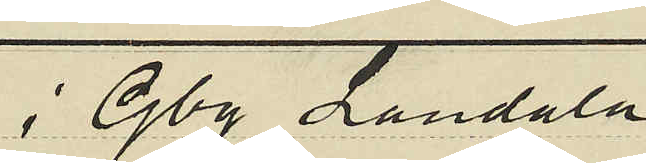i Gbg Landala
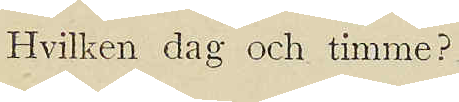Hvilken dag och timme?
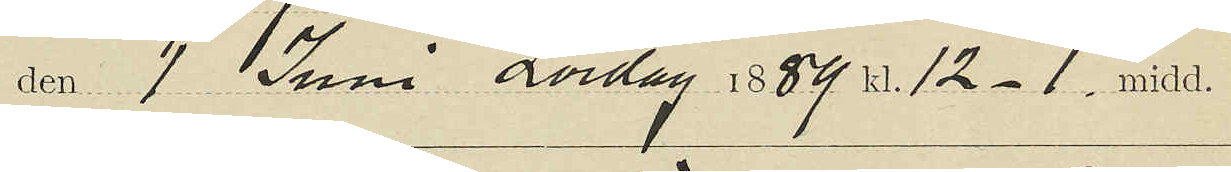den 1 Juni Lördag 1889 kl. 12-1. midd.
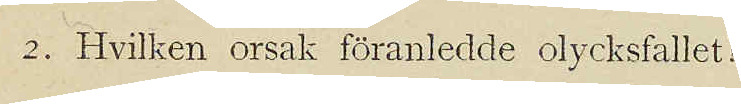2. Hvilken orsak föranledde olycksfallet?
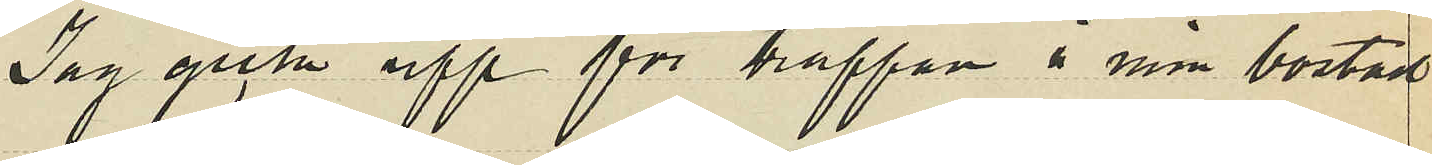Jag gick upp för trappan å min bostad
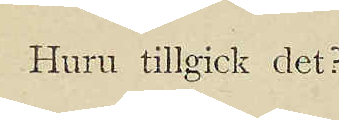Hur tillgick det?
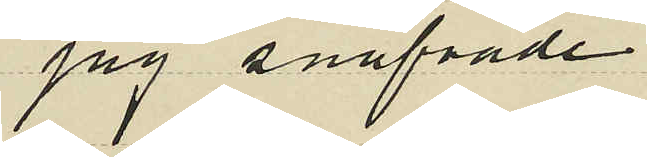jag snafvade
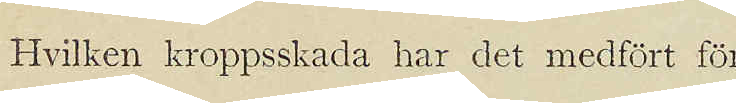Hvilken kroppsskada har det medfört för
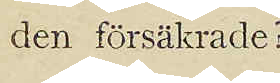den försäkrade?
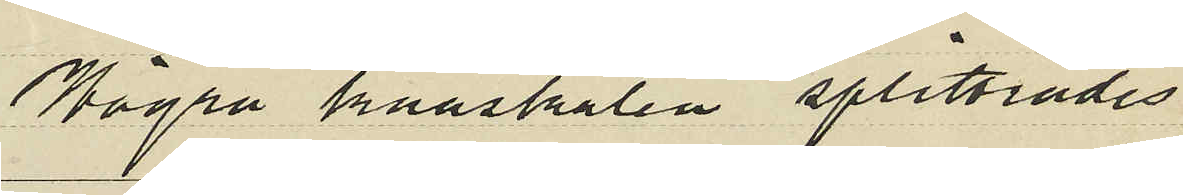Högra knäskålen splittrades
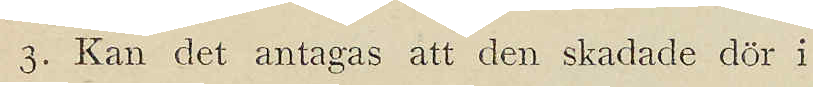3. Kan det antagas att den skadade dör i
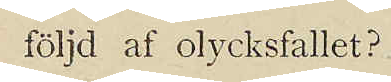följd af olycksfallet?
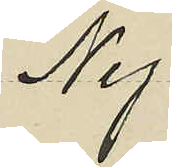Nej
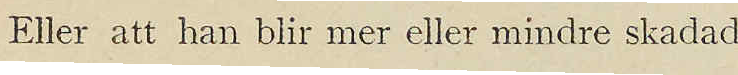Eller att han blir mer eller mindre skadad
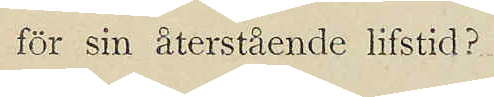för sin återstående lifstid?
